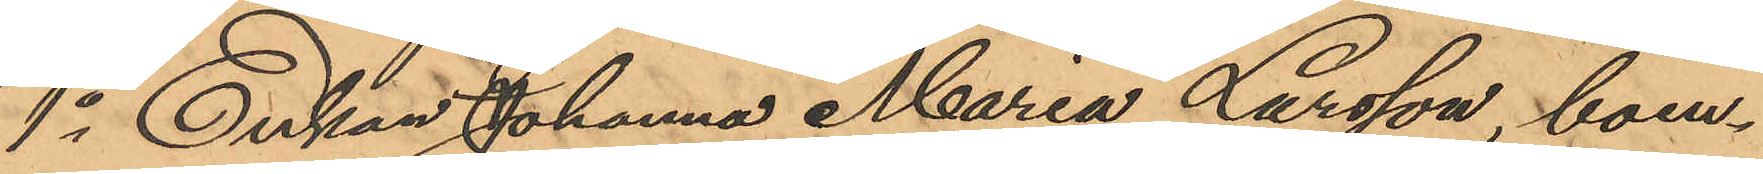1o Enkan Johanna Maria Larsson, boen¬
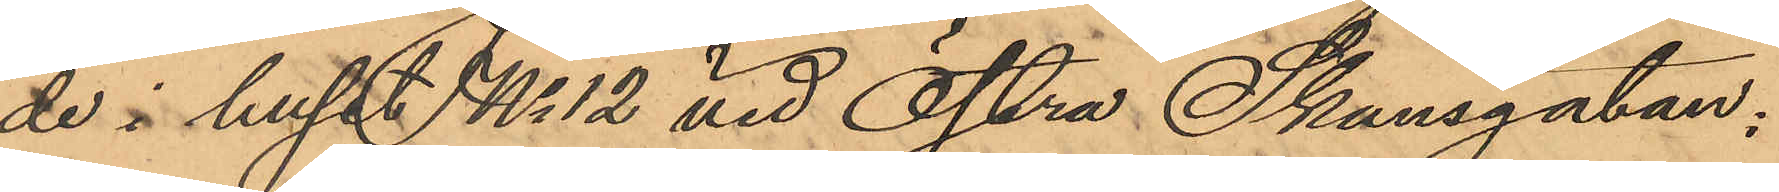de i huset No 12 vid Östra Skansgatan:
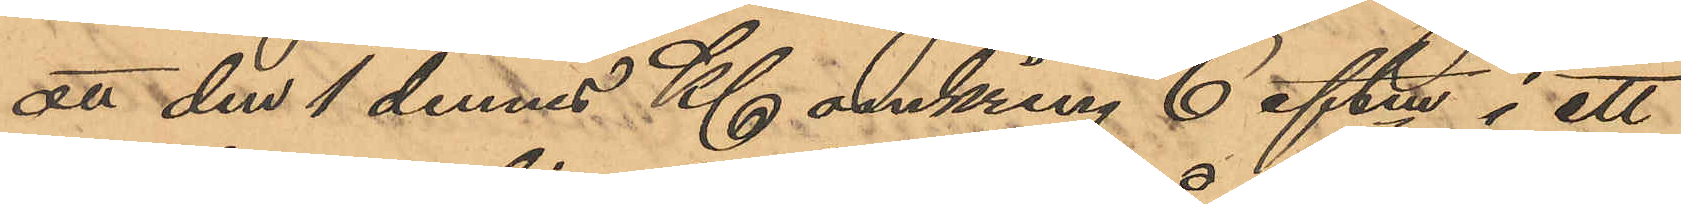att den 1 dennes Kl omkring 6 eftm i ett
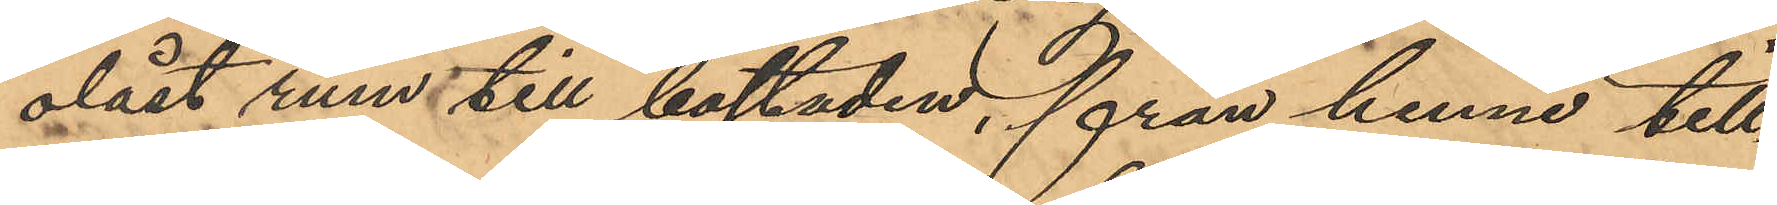olåst rum till bostaden, från henne till¬
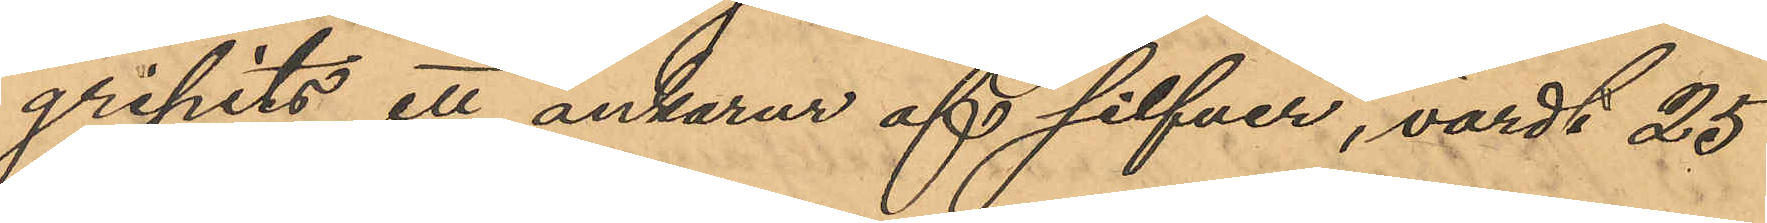gripits ett ankarur af silfver, värdt 25
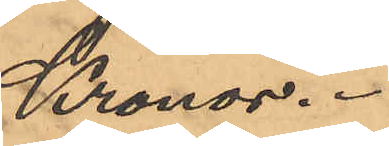Kronor.
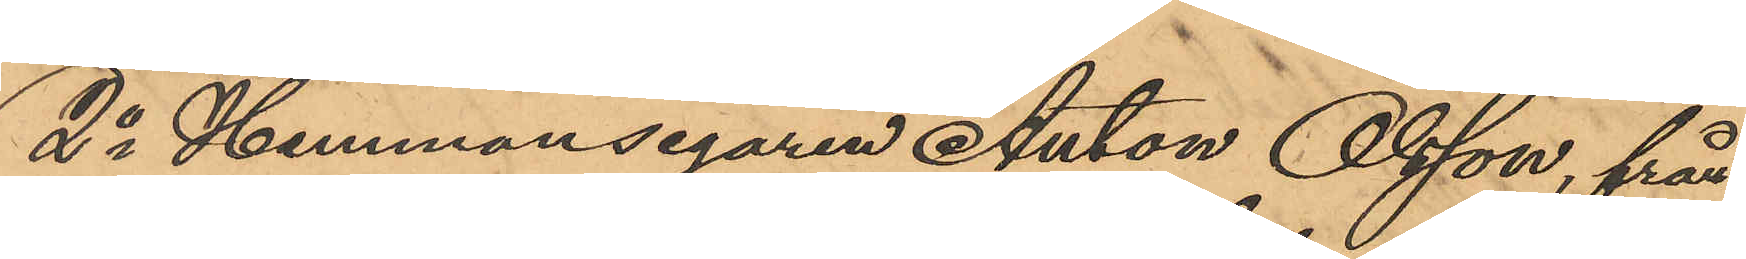2o Hemmansegaren Anton Olsson, från
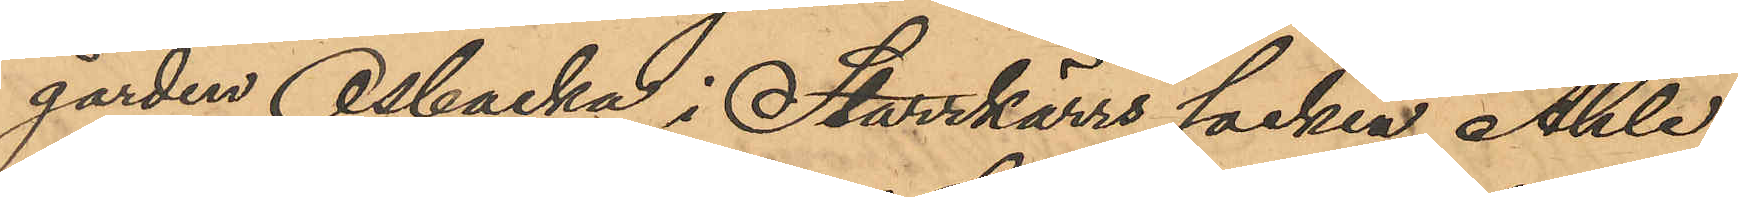gården Osbacka i Starrkärrs socken, Ahle
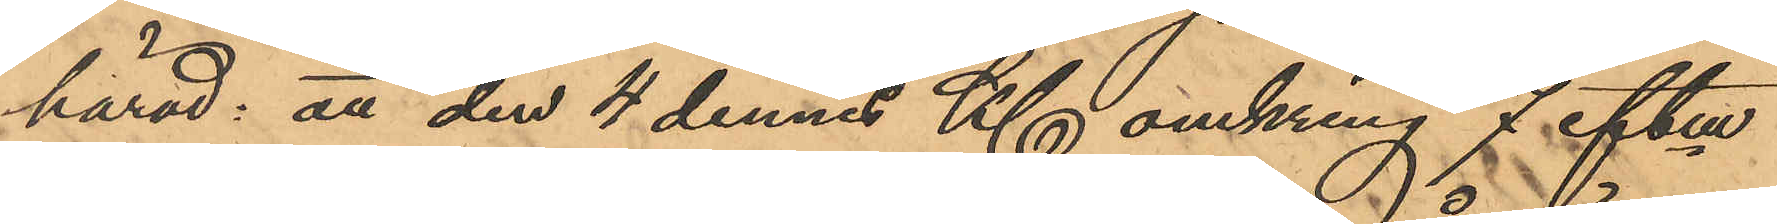härad: att den 4 dennes Kl omkring 7 eftm
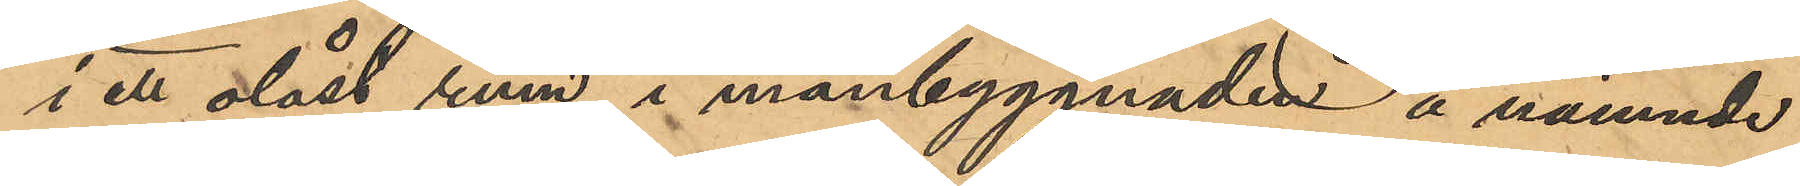i ett olåst rum i manbyggnaden å nämnde
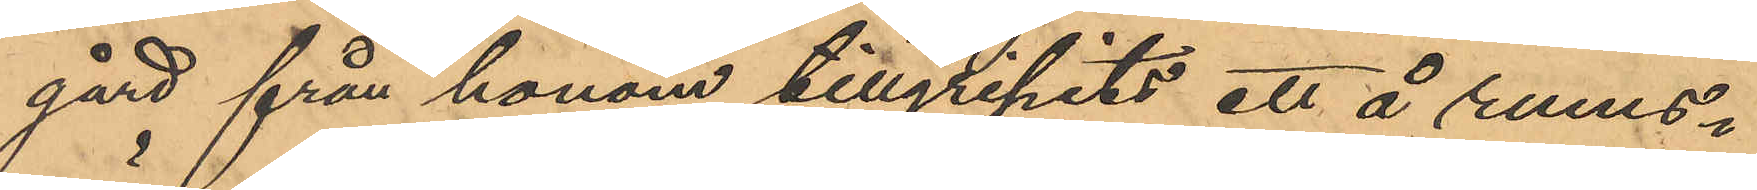gård från honom tillgripits ett å rums¬
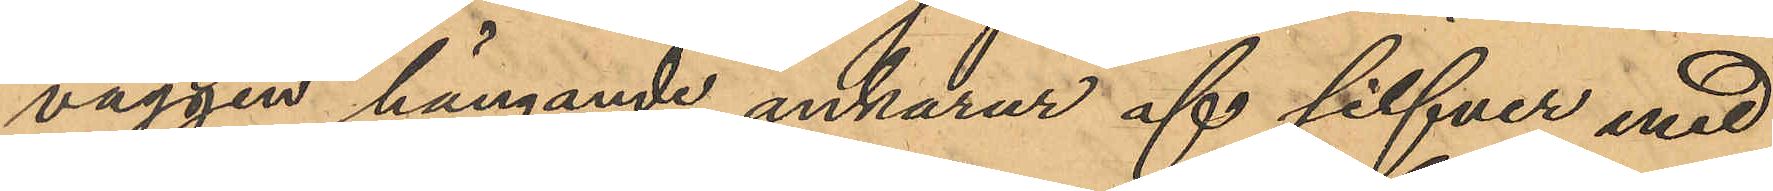väggen hängande ankarur af silfver med
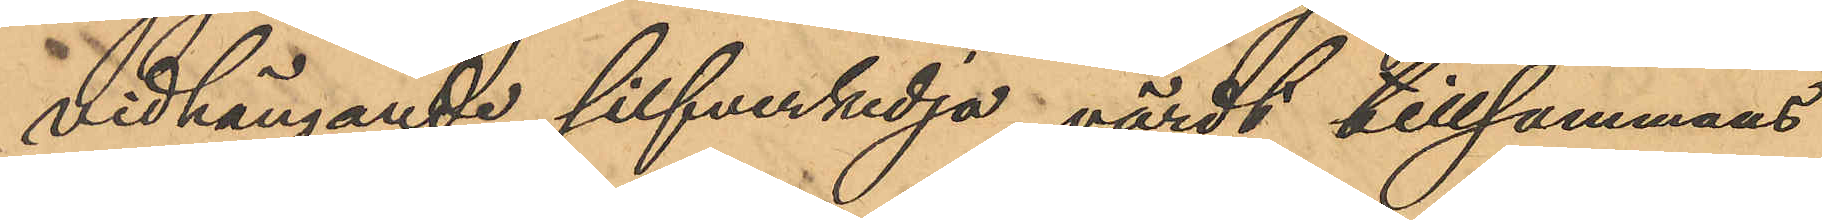vidhängande silfverkedja, värdt tillsammans
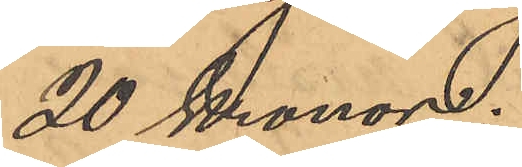20 Kronor;
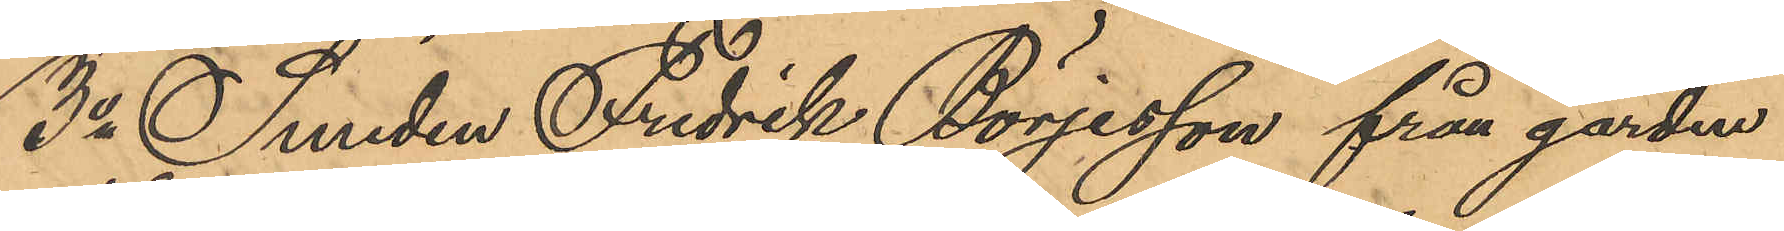3o Smeden Fredrik Börjesson från gården
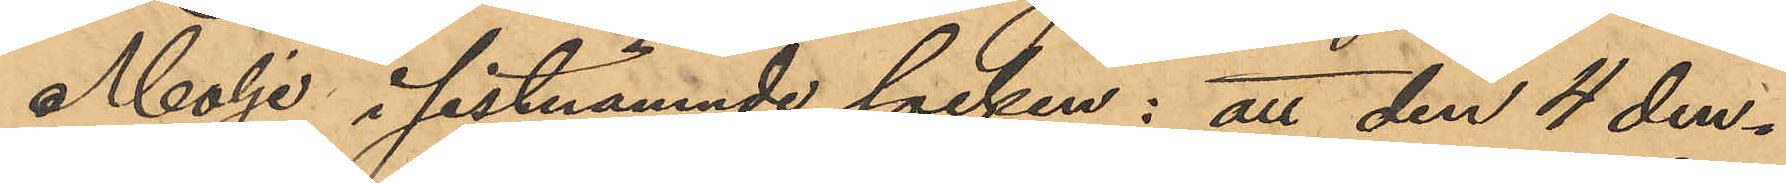Molje i sistnämnde socken; att den 4 den¬
